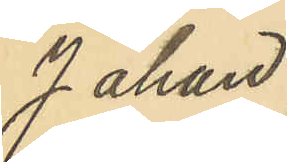Johan
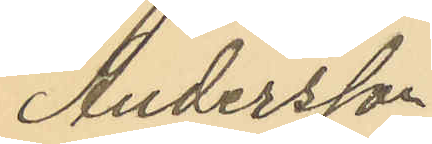Andersson
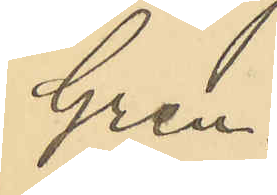Gren.
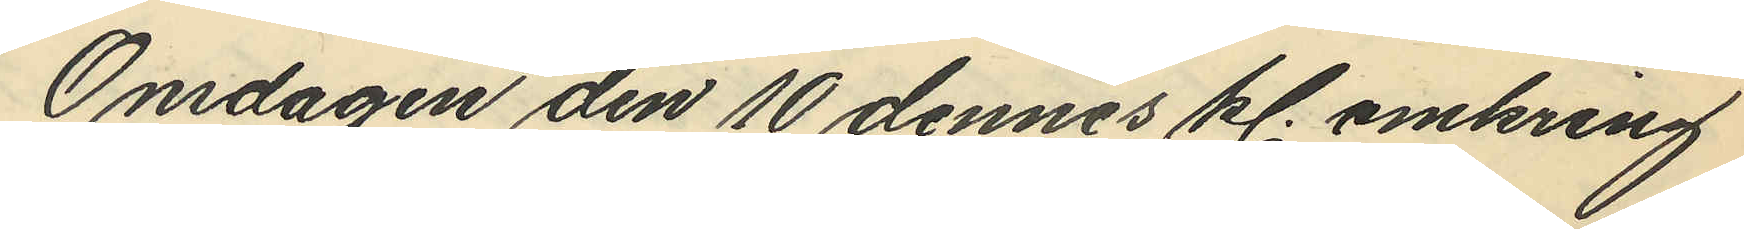Onsdagen den 10 dennes kl. omkring
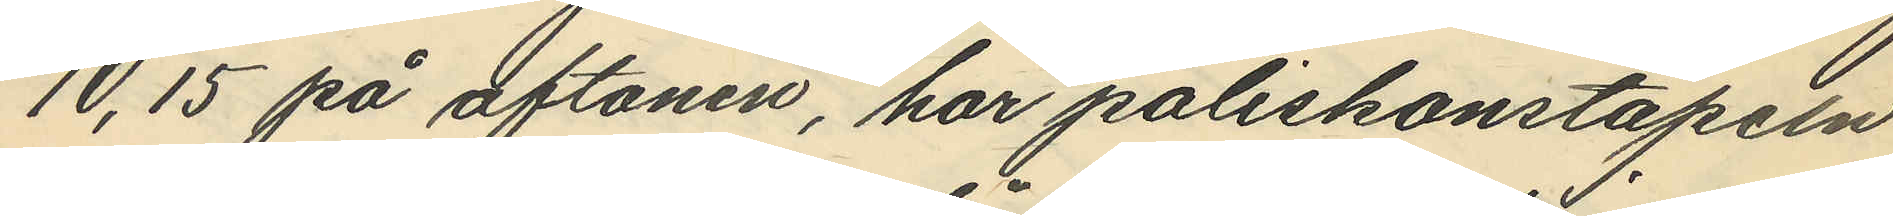10,15 på aftonen, har poliskonstapeln
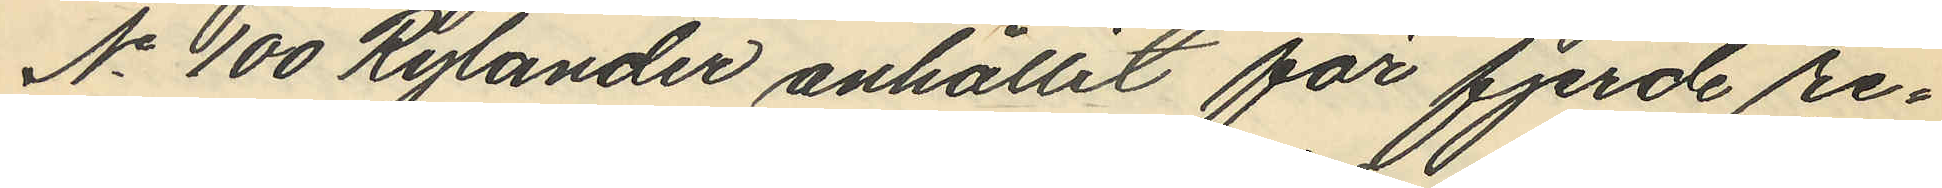No 100 Rylander anhållit för fjerde re¬
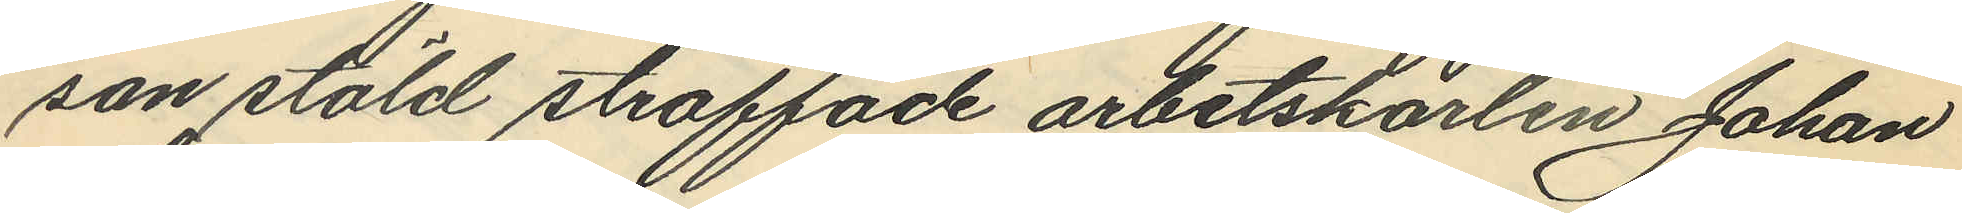san stöld straffade arbetskarlen Johan
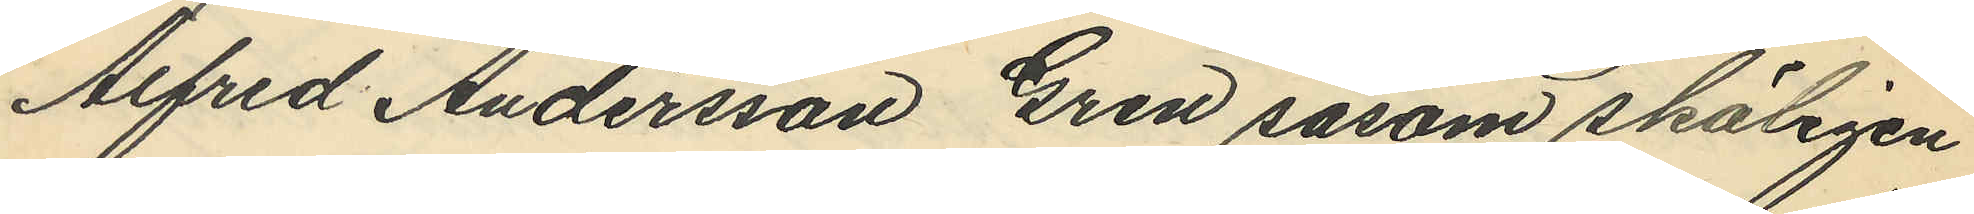Alfred Andersson Gren såsom skäligen
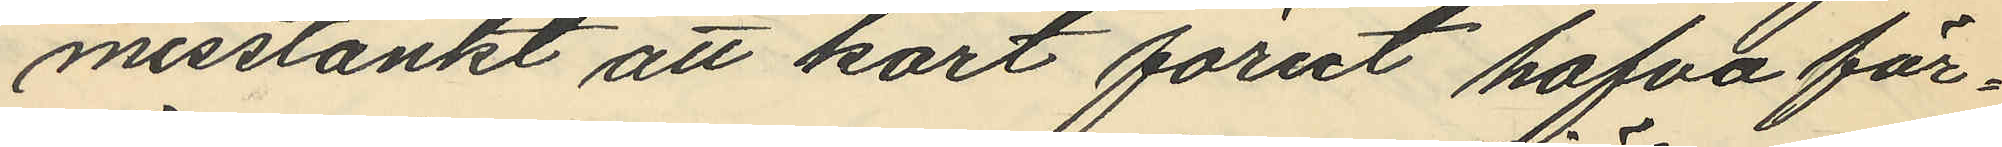misstänkt att kort förut hafva för¬
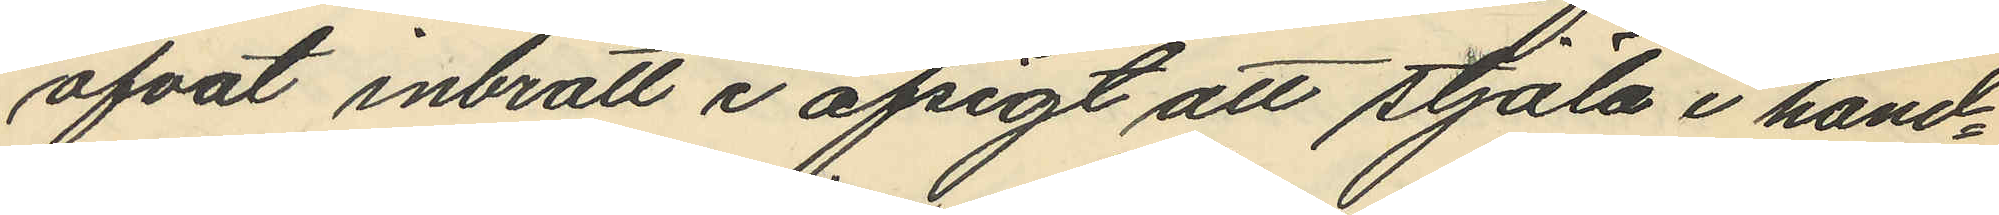öfvat inbrott i afsigt att stjäla i hand¬
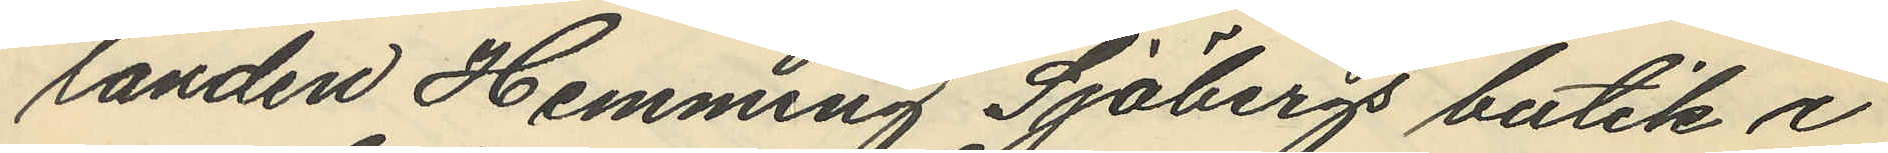landen Hemming Sjöbergs butik i
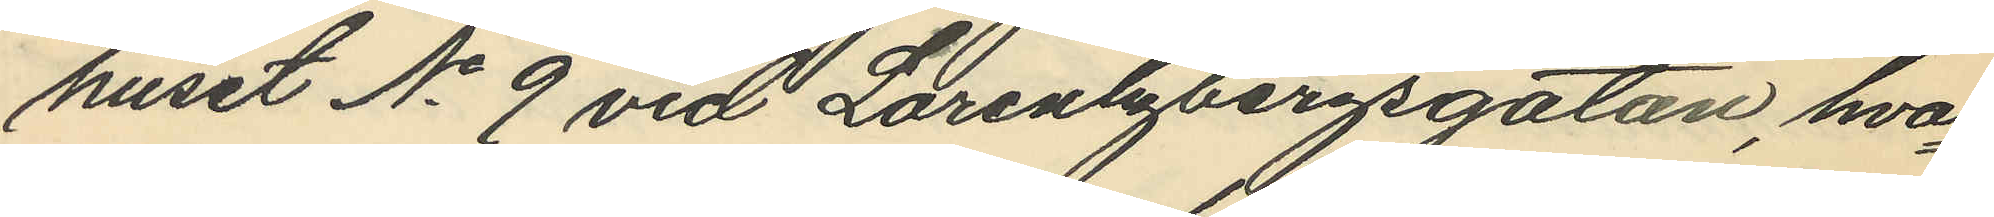huset No 9 vid Loretzbergsgatan, hvar¬
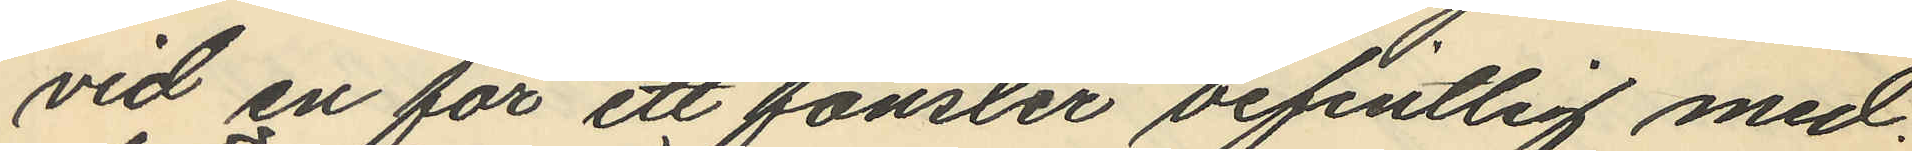vid en för ett fönster befintlig med
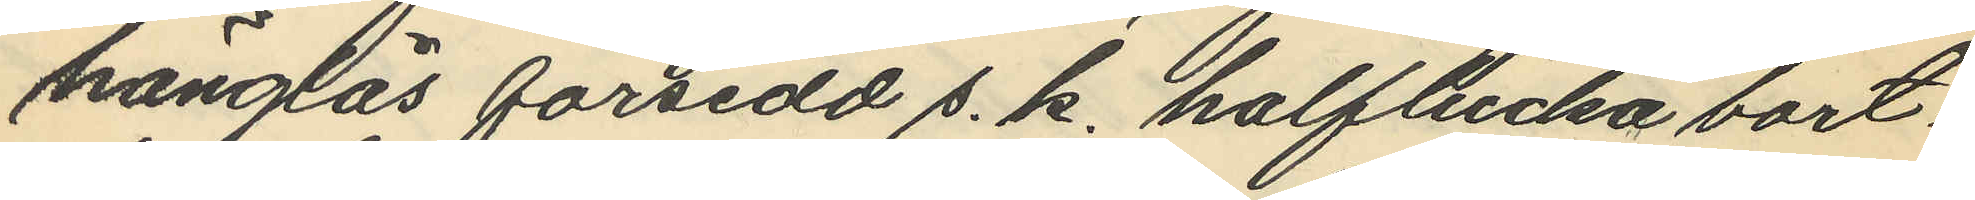hänglås försedd s. k. halflucka bort¬
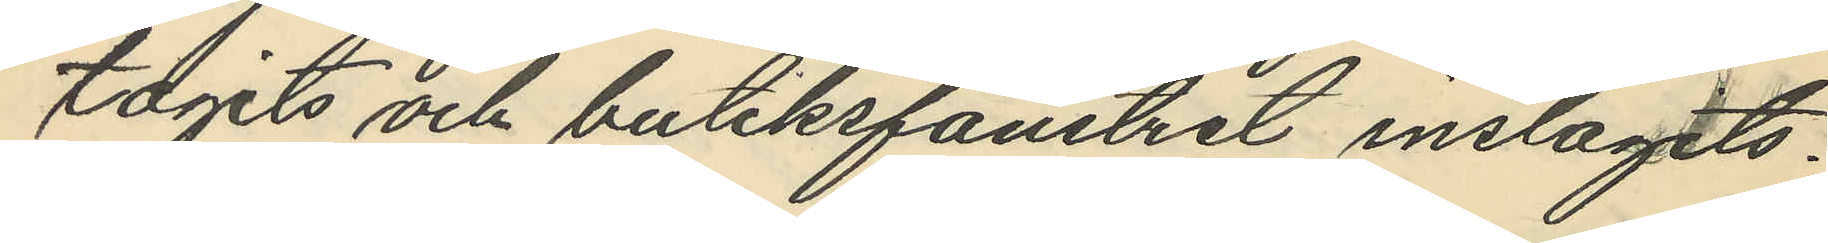tagits och butiksfönstret inslagits.
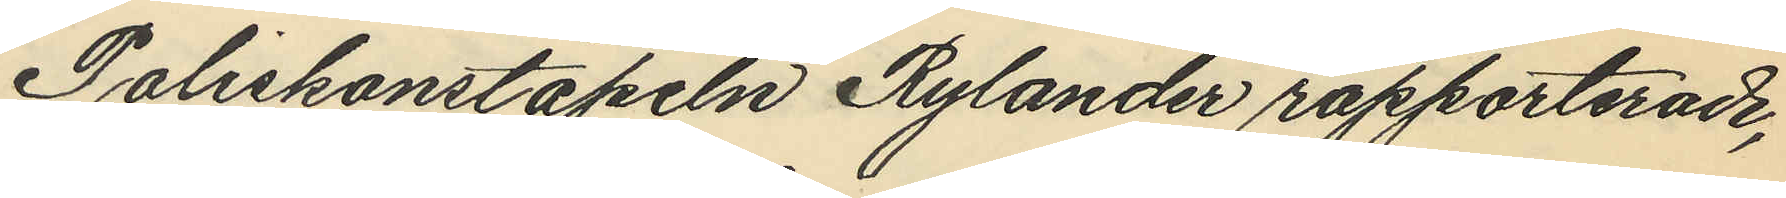Poliskonstapeln Rylander rapporterade,
